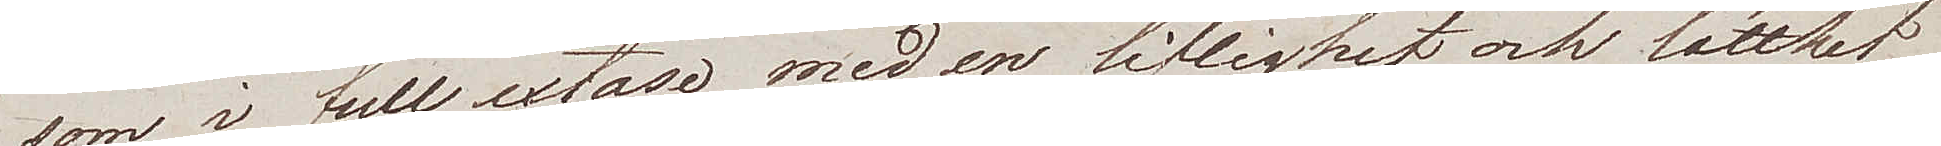som i full extase, med en liflighet och lätthet
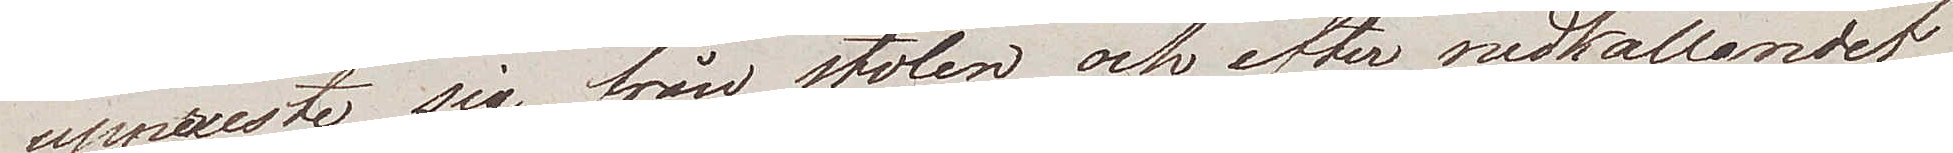uppreste sig sig från stolen och efter nedkallandet
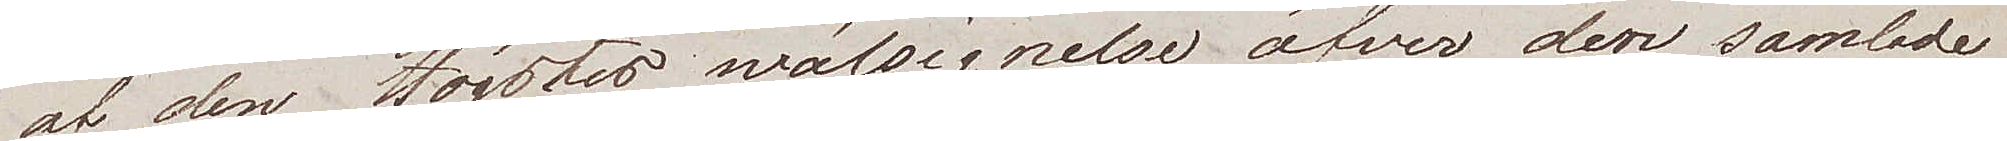på af den Högstes wälsignelser öfver den samlade
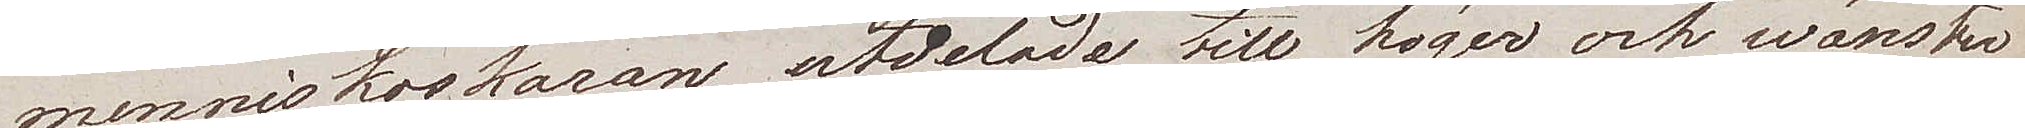menniskoskaran, utdelade till höger och wänster
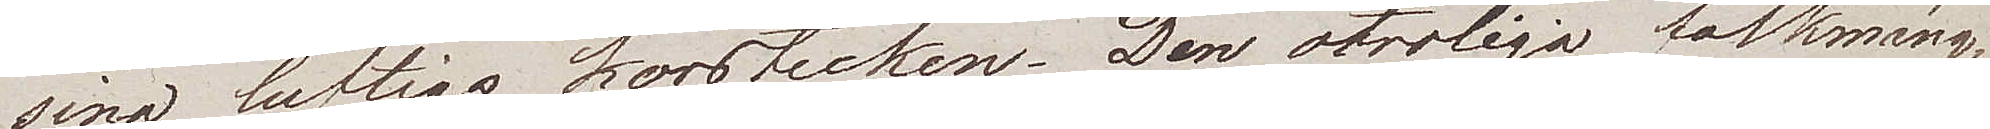sina luftiga korstecken. Den otroliga folkmäng¬
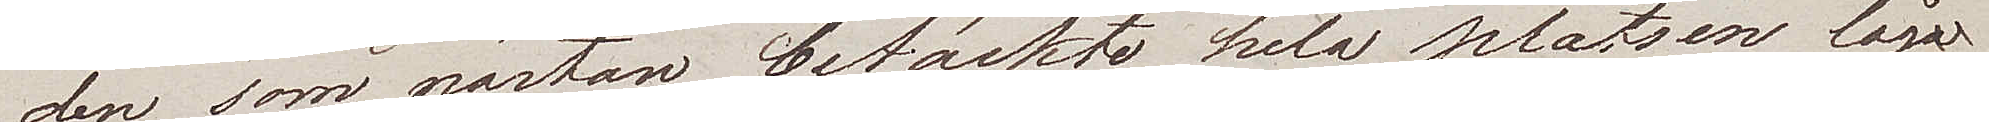den som nästan betäckte hela platsen låg
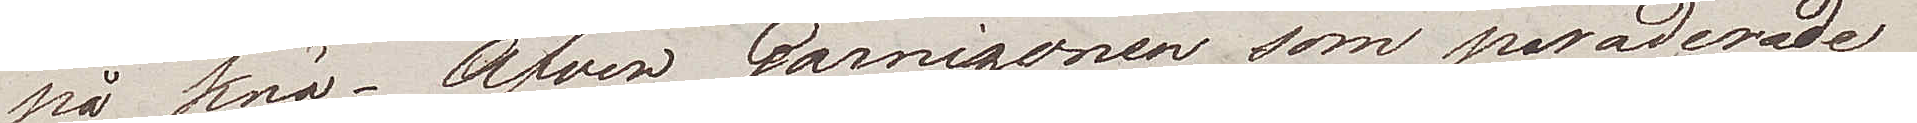på knä; Äfwen Garnisonen som paraderade
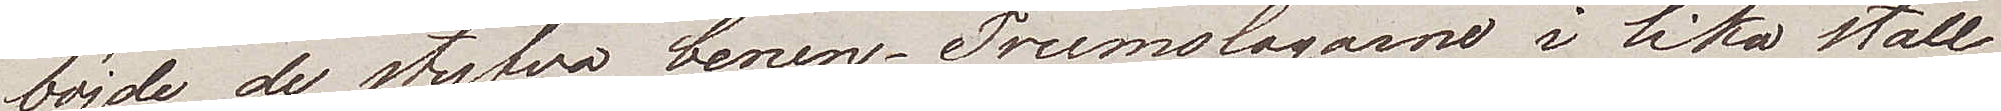böjde de styfva benen – Trumslagarne i lika ställ¬
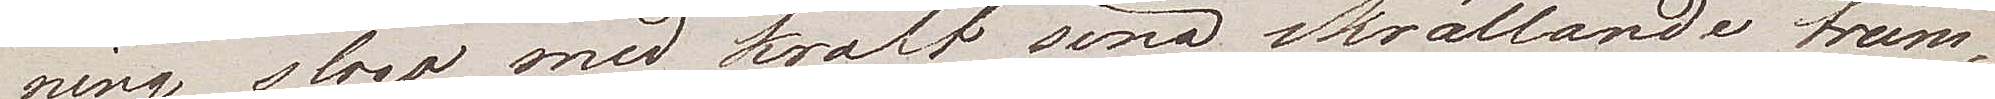ning slogo med kraft sina skrällande trum¬
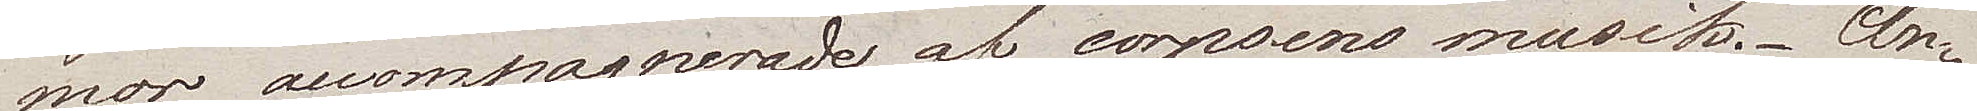mor acompagnerade af corpsens musik. An¬
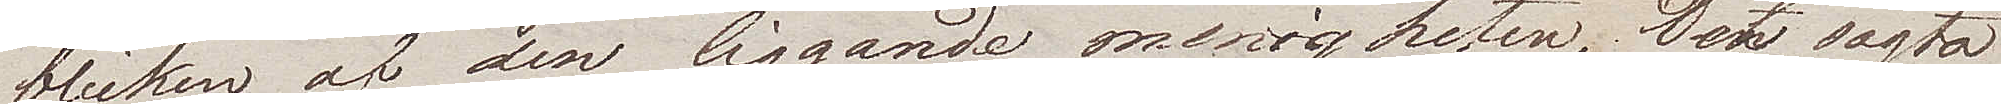blicken af den liggande menigheten, det sagta
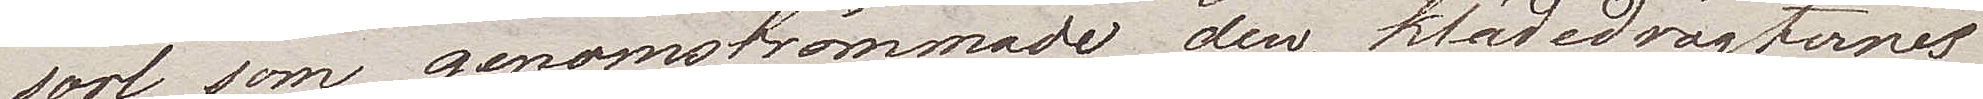sorl som genomströmmade den, klädedrägternes
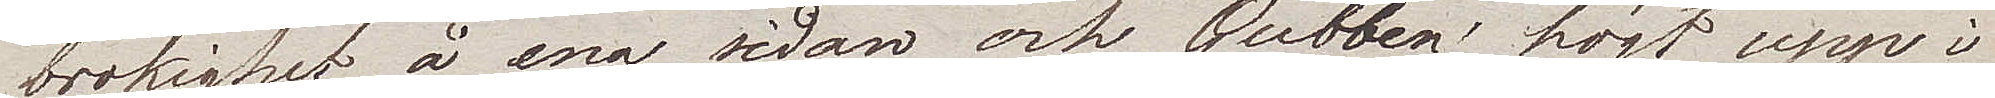brokighet, å ena sidan och Gubben högt upp i
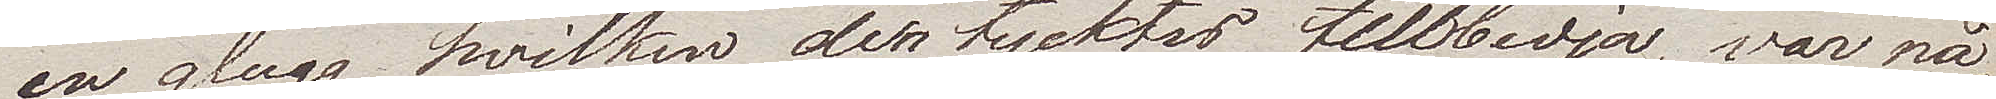en glugg hwilken den tycktes till tillbedja, var nå¬
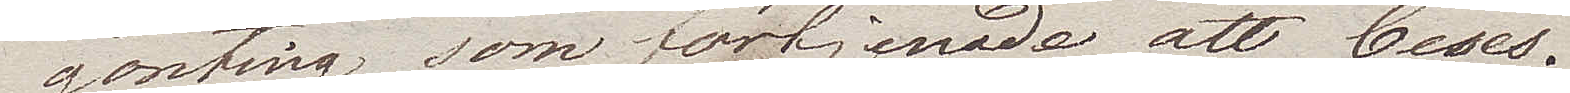gonting som förtjenade att beses.
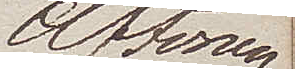Aftonen
